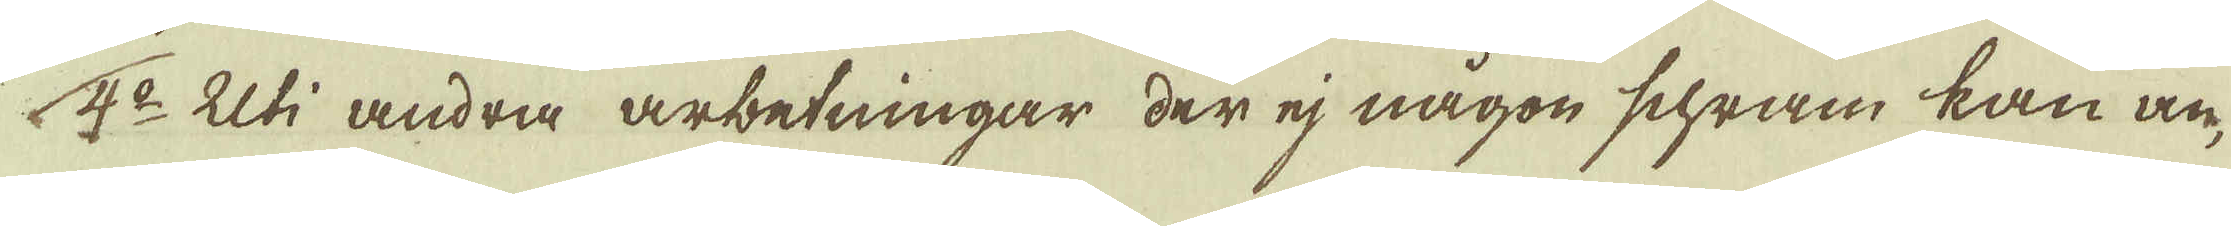4:o Uti andra arbetningar der ej någon schram kan an-
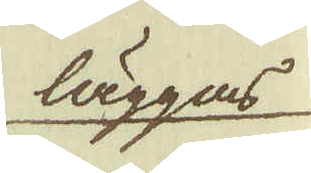läggas
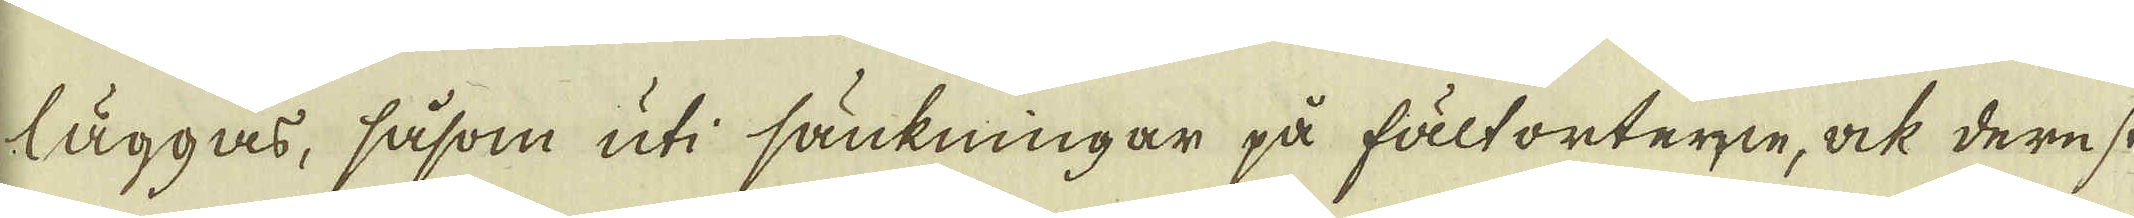läggas, såsom uti sänkningar på fält orterne, ock derest
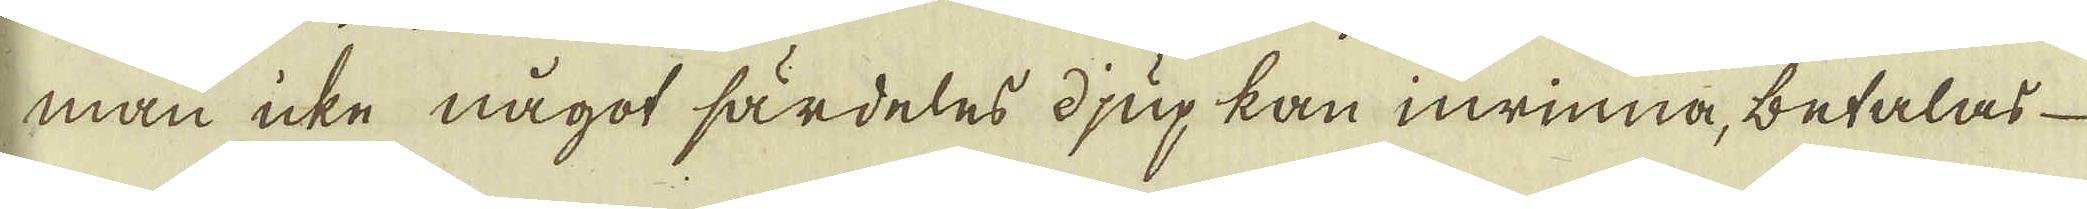man icke något särdeles djup kan inrinna, betalas
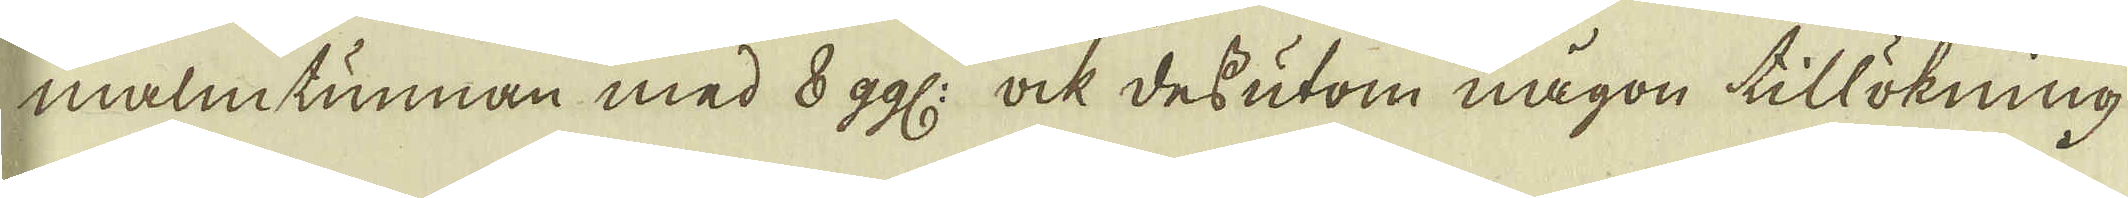malmtunnan med 8 ggl: ock dessutom någon tillökning
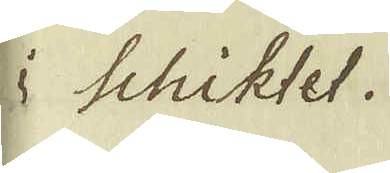i Schiktet.
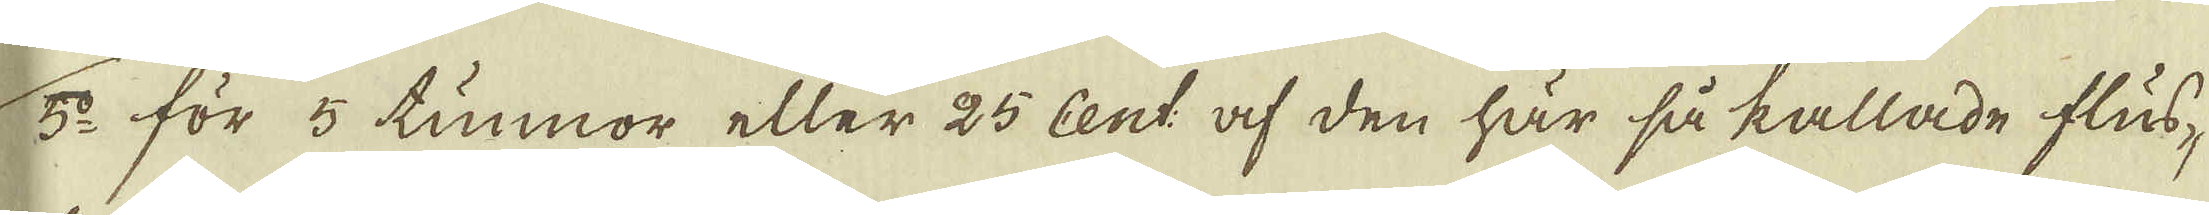5:o för 5 tunnor eller 25 Cent af den här så kallade flus-
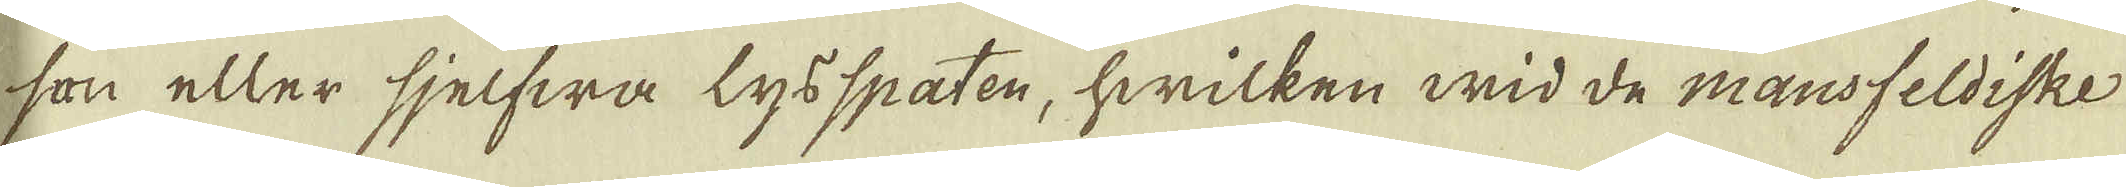son eller sjelfwa lysspaten, hwilken wid de mansfeldiske
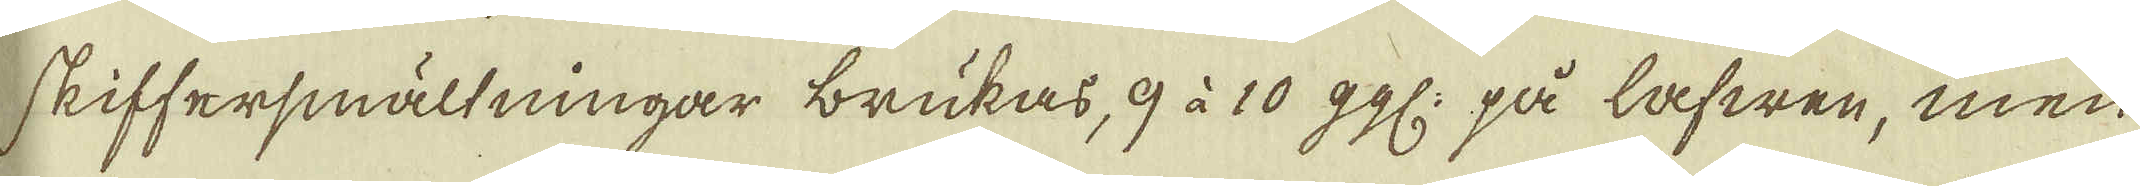skiffersmältningar brukas, 9 à 10 ggl: på lafwen, men
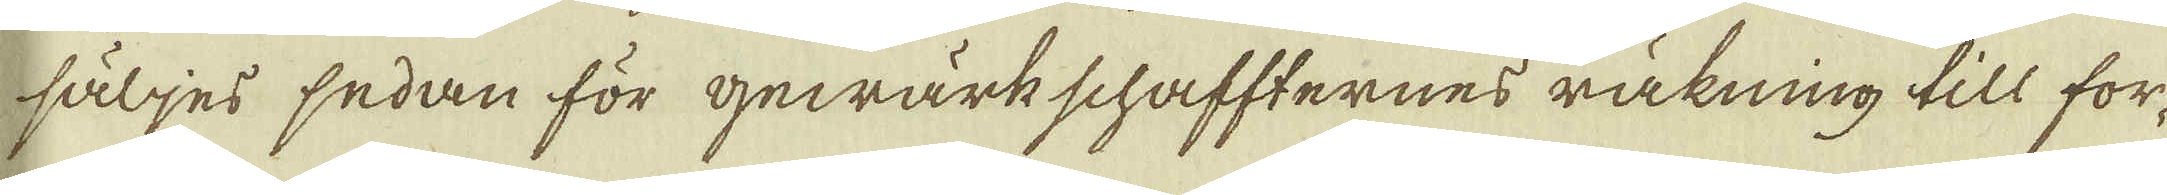säljes sedan för gewärkschaffternes räkning till for-
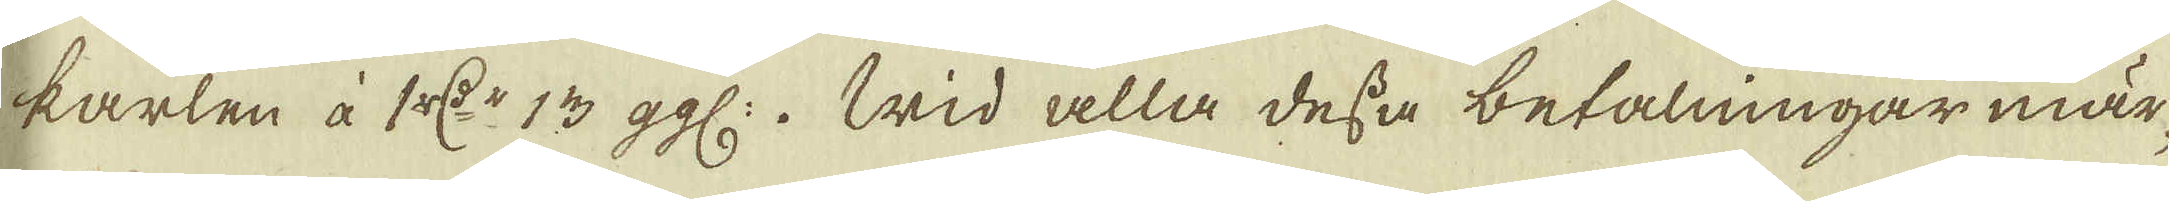karlen à 1 r:dr 13 ggl:. Wid alla dessa betalningar mär-
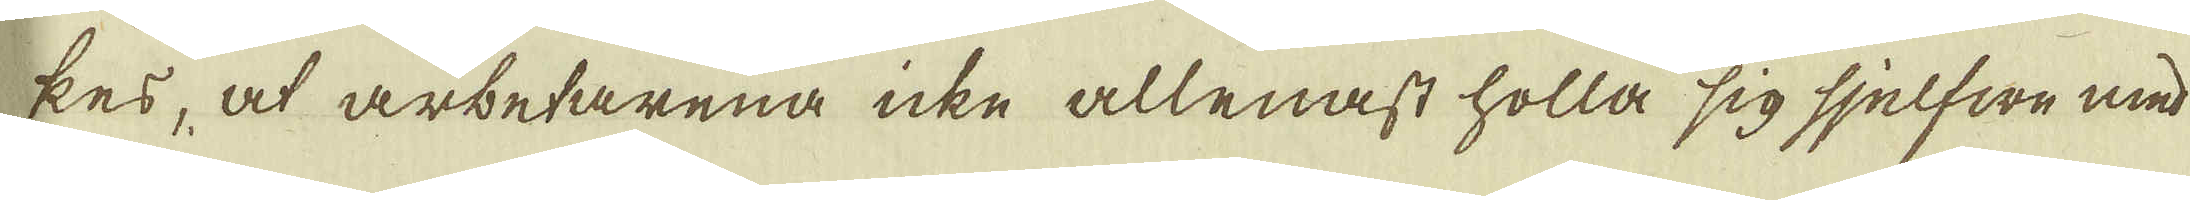kes, at arbetarena icke allenast holla sig sjelfwe med
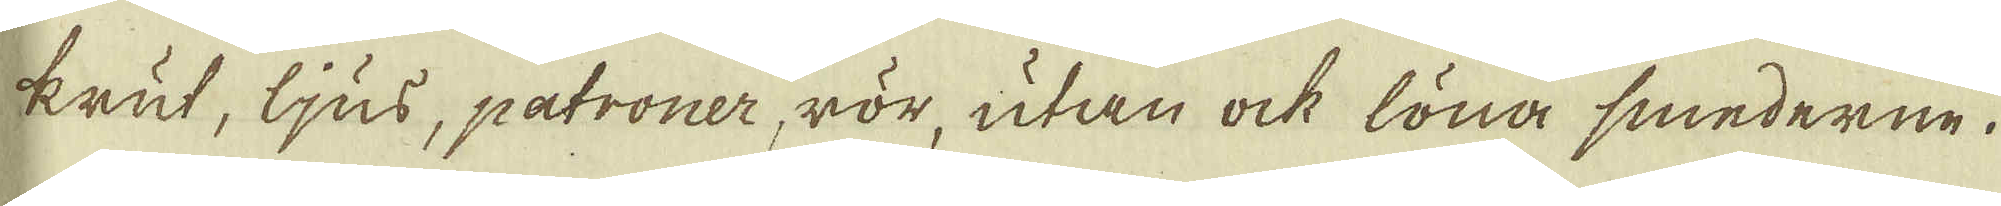krut, ljus, patroner rör, utan ock löna smederne.
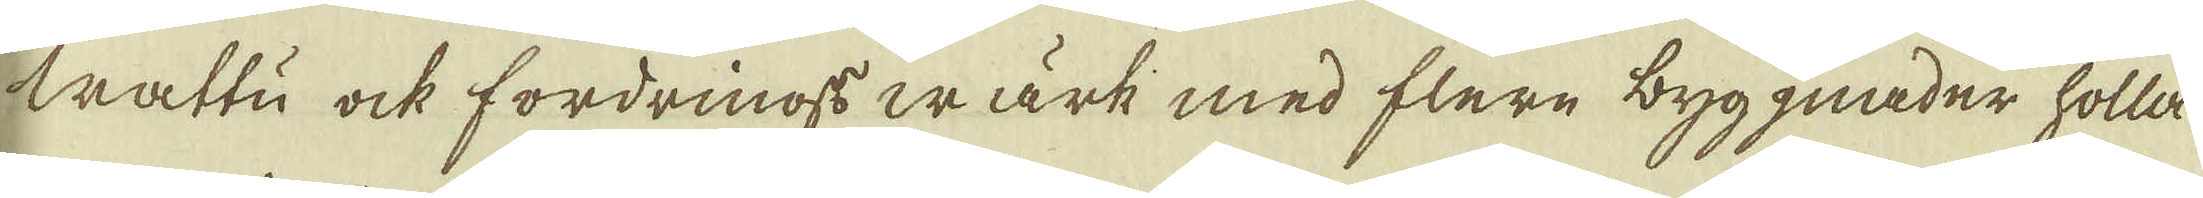Wattu ock fordrings wärk med flere byggnader holla
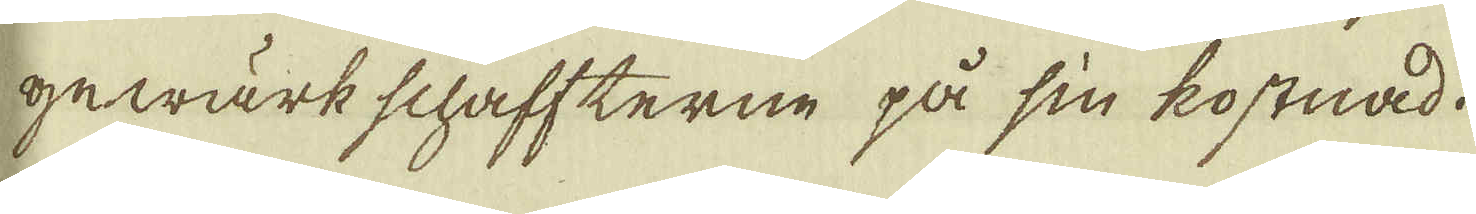gewärkschaffterne på sin kostnad.
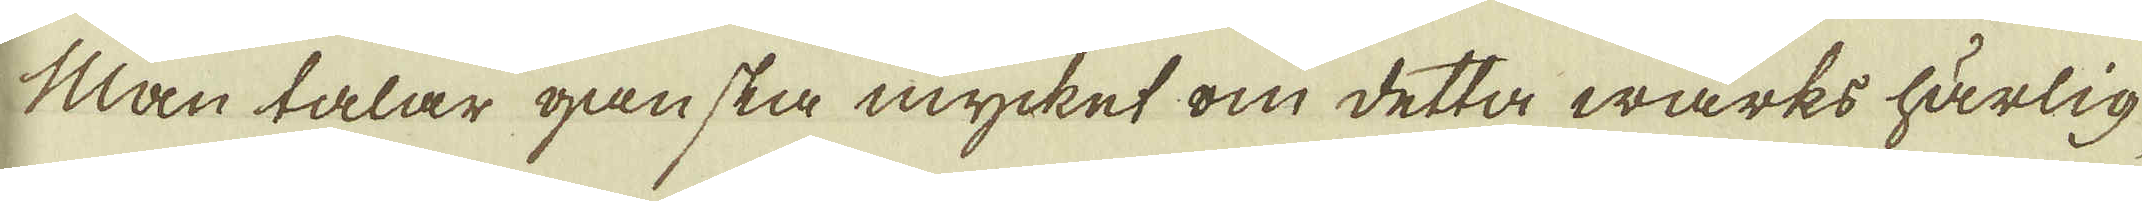Man talar ganska mycket om detta wärks härlig-
